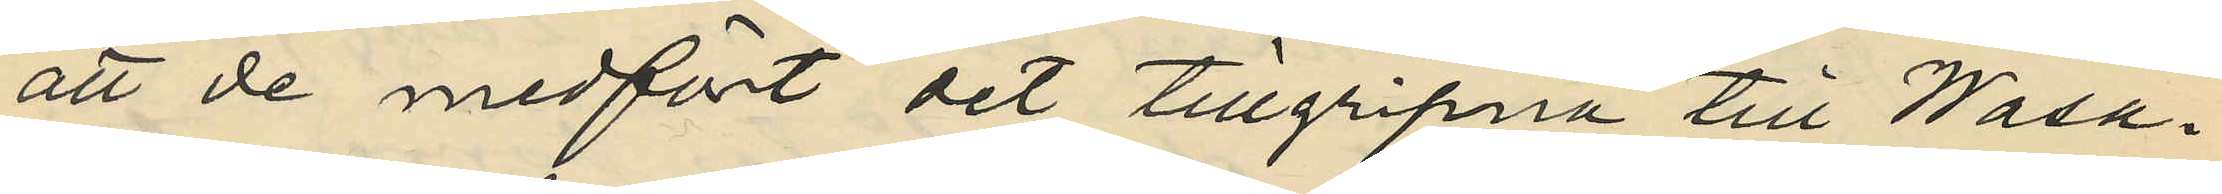att de medfört det tillgripna till Wasa¬
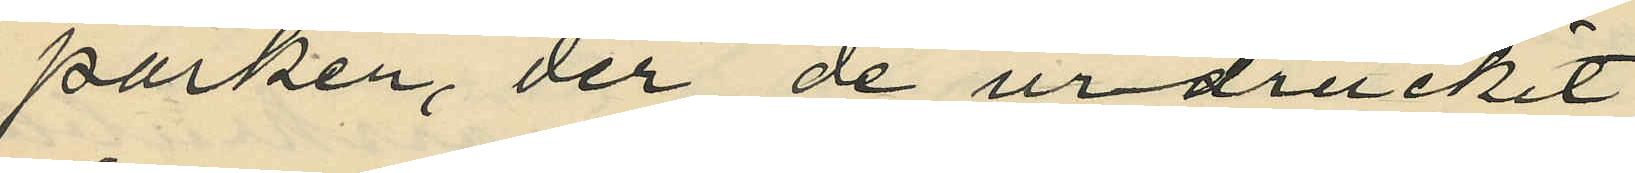parken, der de urdruckit
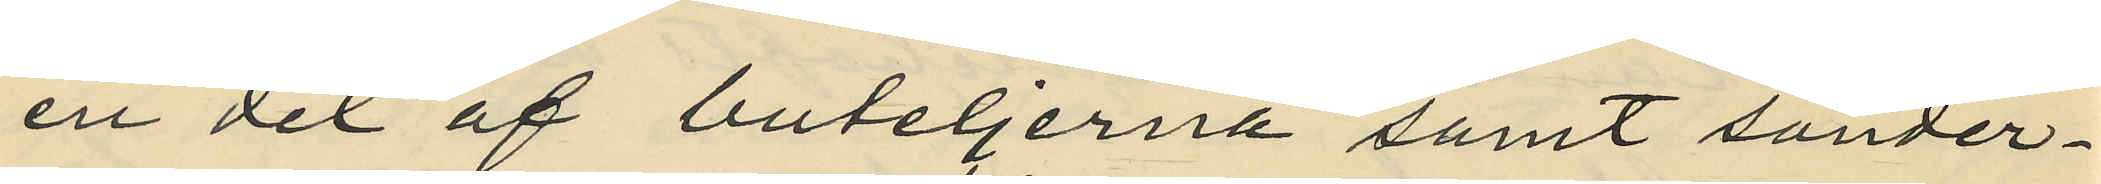en del af buteljerna samt sönder¬
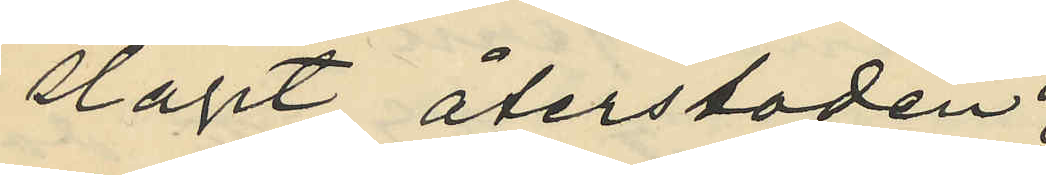slagit återstoden;
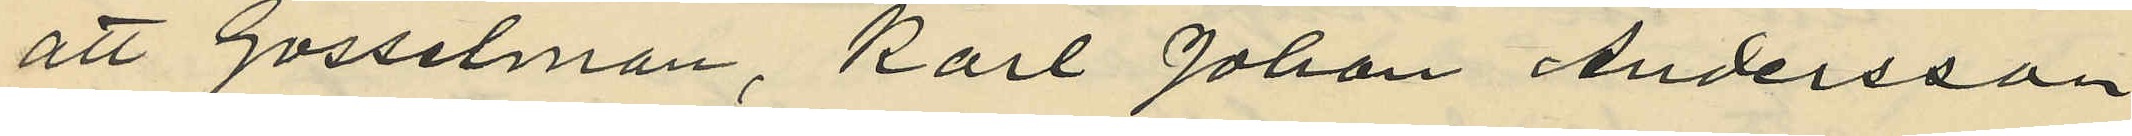att Gosselman, Karl Johan Andersson
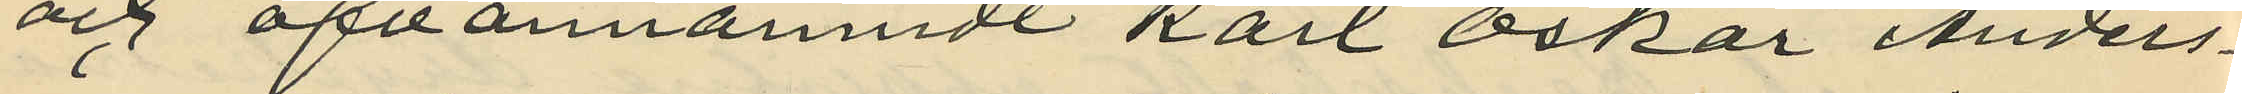och ofvannämnde Karl Oskar Anders¬
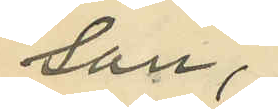son,
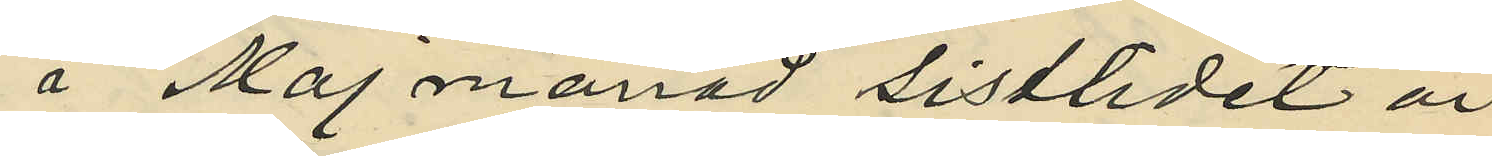i Maj månad sistlidet år
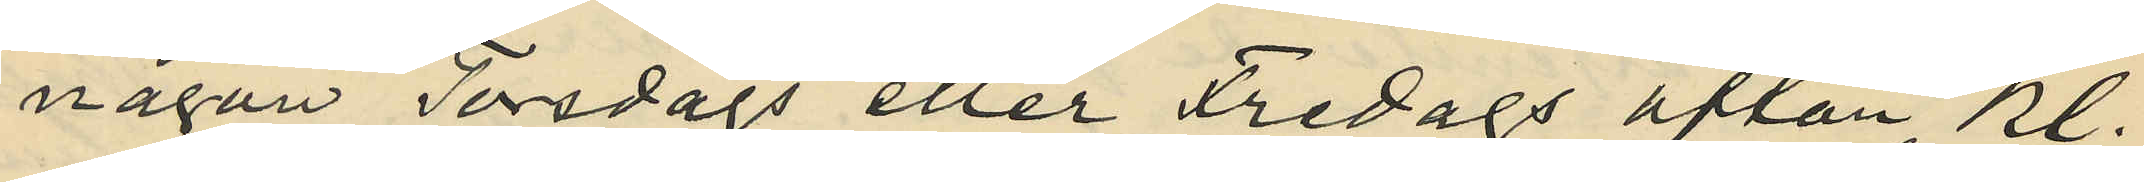någon Torsdags eller Fredags afton, kl.
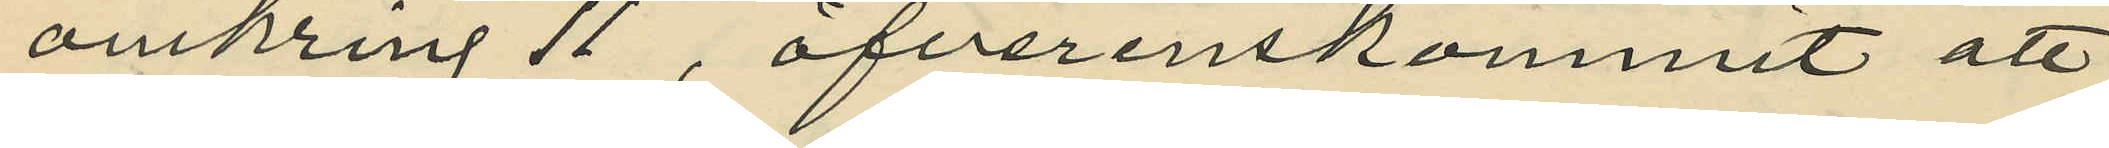omkring 11, öfverenskommit att
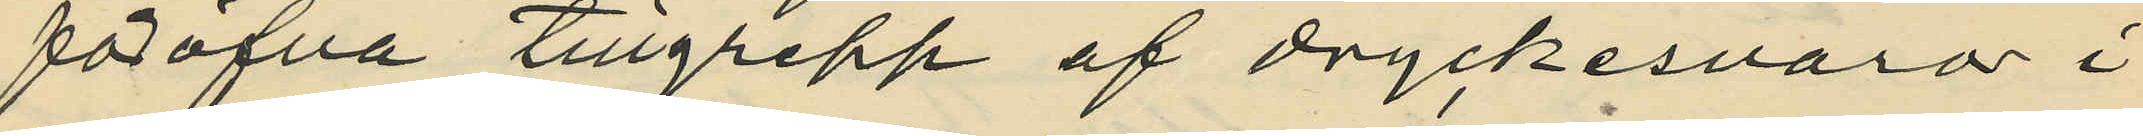föröfva tillgrepp af dryckesvaror i
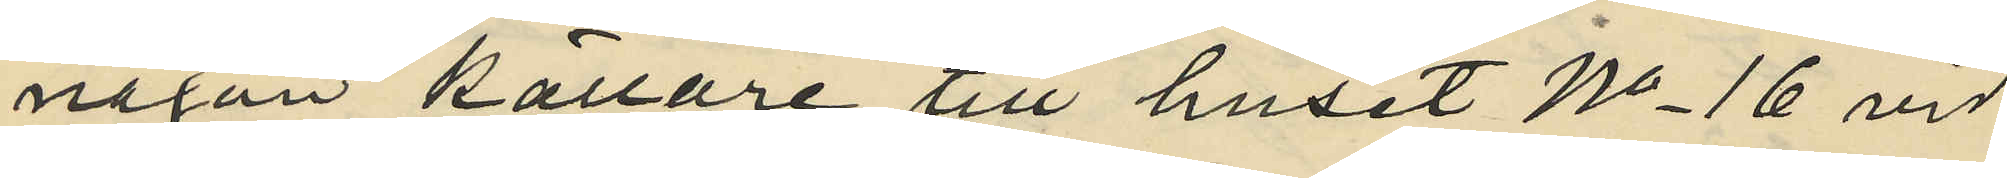någon källare till huset No 16 vid
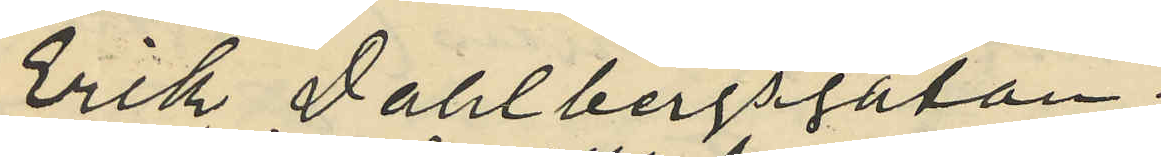Erik Dahlbergsgatan.
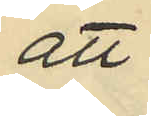att
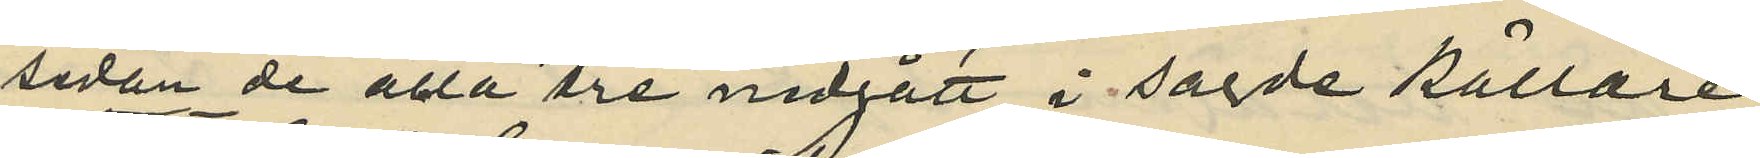sedan de alla tre nedgått i sagde källare
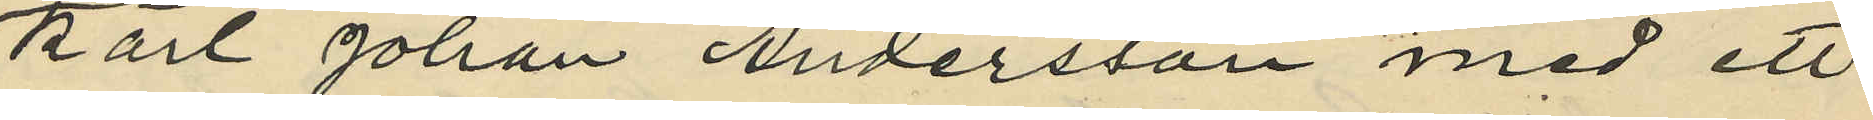Karl Johan Andersson med ett
